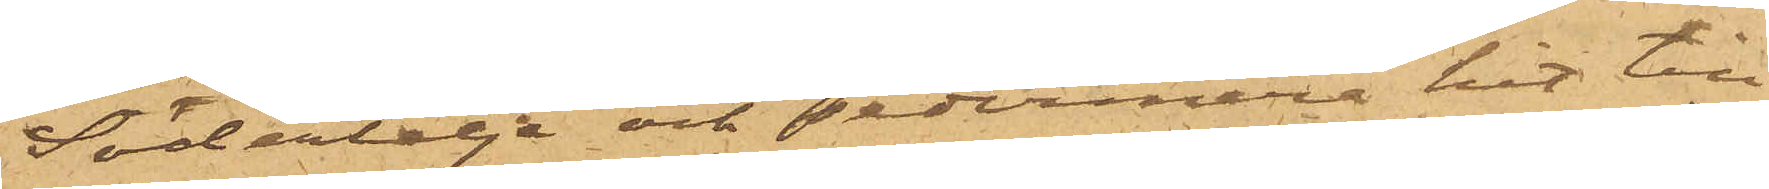Södertelje och sedermera hit till
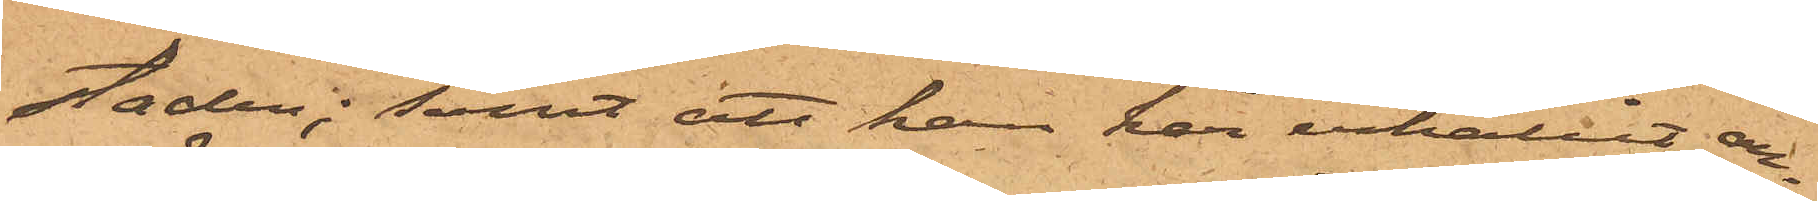saden; samt att han har erhållit an¬
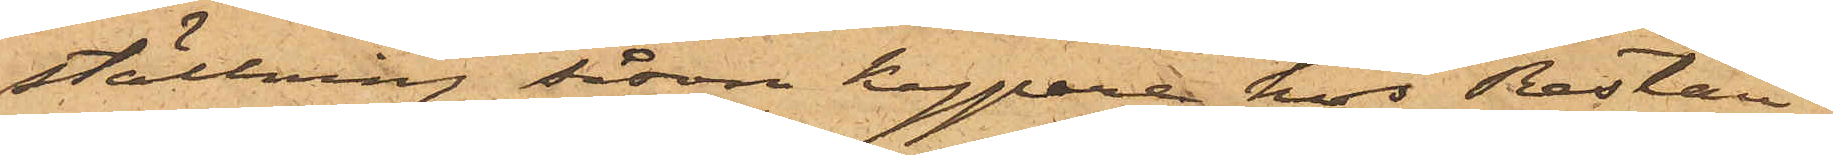ställning såsom kypare hos Restau¬
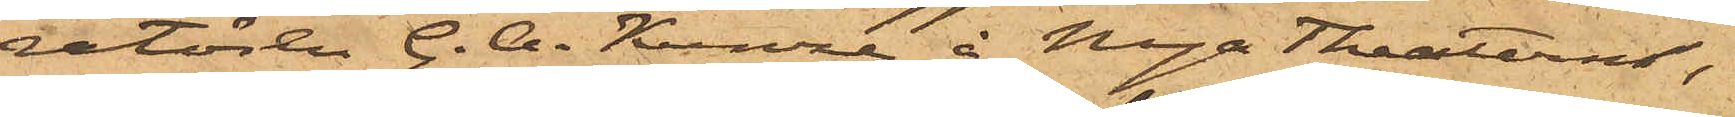ration G. A. Kunze å Nya Theatern,
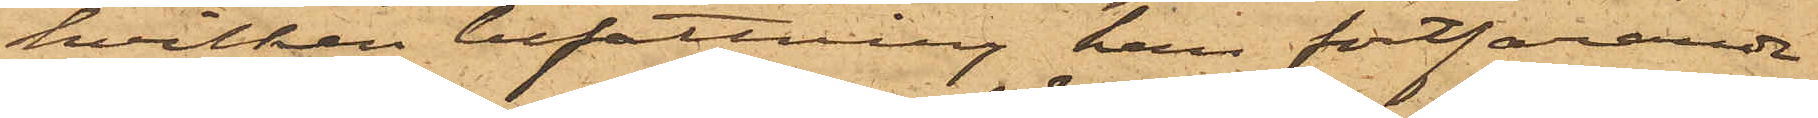hvilken befattning han fortfarande
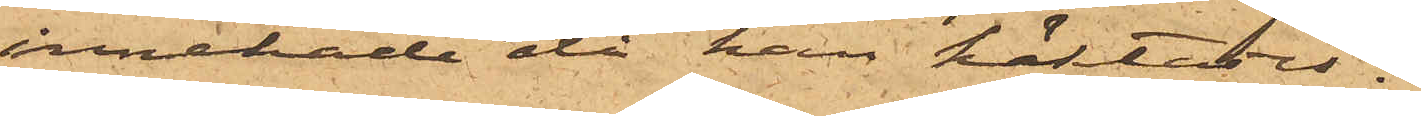innehade då han häktades.
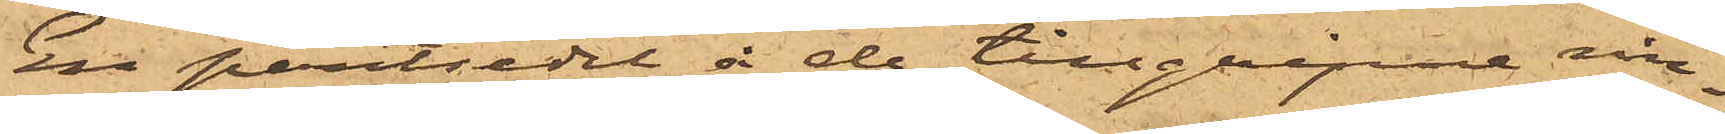En pantsedel å de tillgripne rin¬
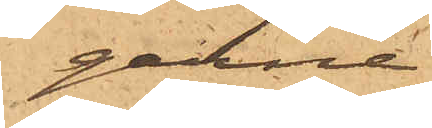garne
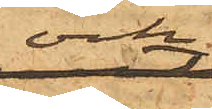och
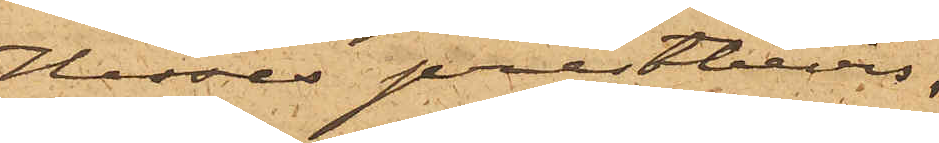Hesses prestbevis,
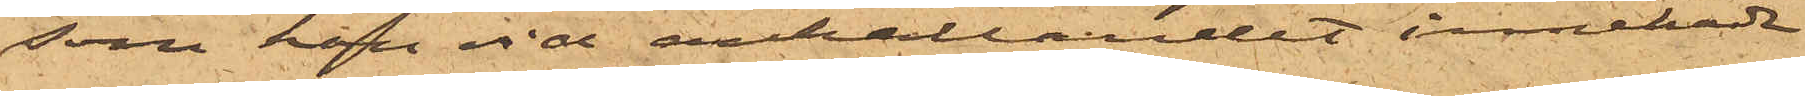som han vid anhållandet innehade,
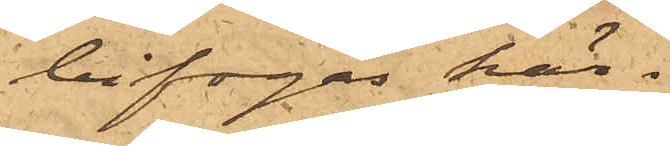bifogas här.
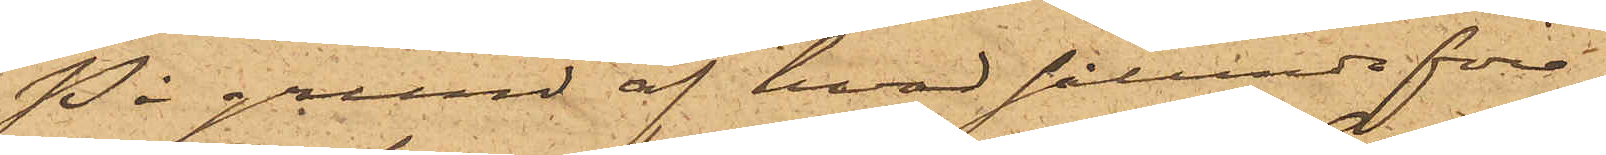På grund af hvad sålunda före¬
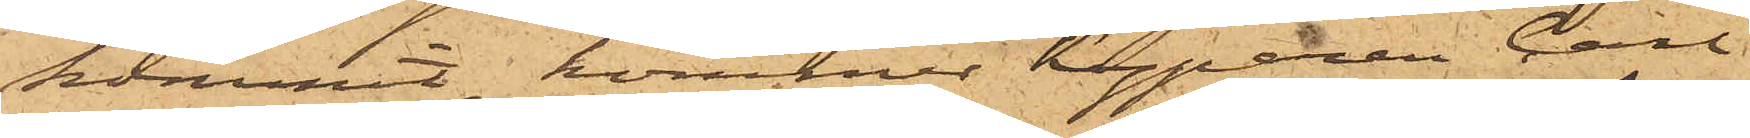kommit, kommer kyparen Carl
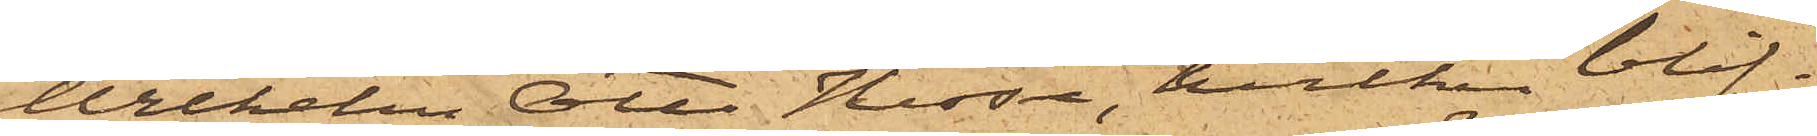Wilhelm Otto Hesse, hvilken blif¬
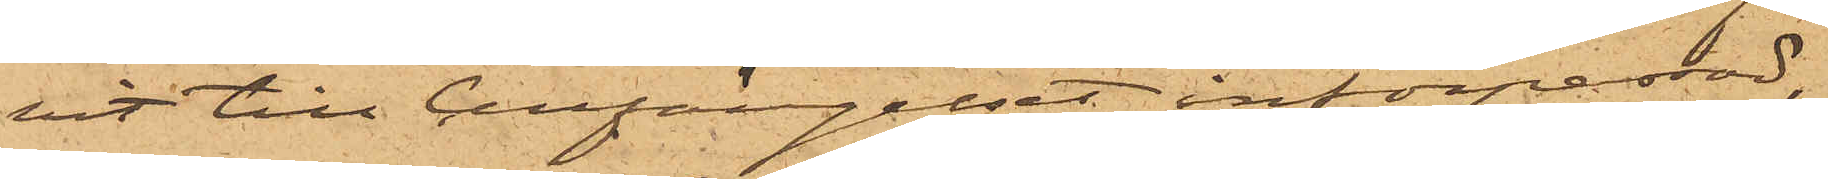vit till Cellfängelset införpassad,
